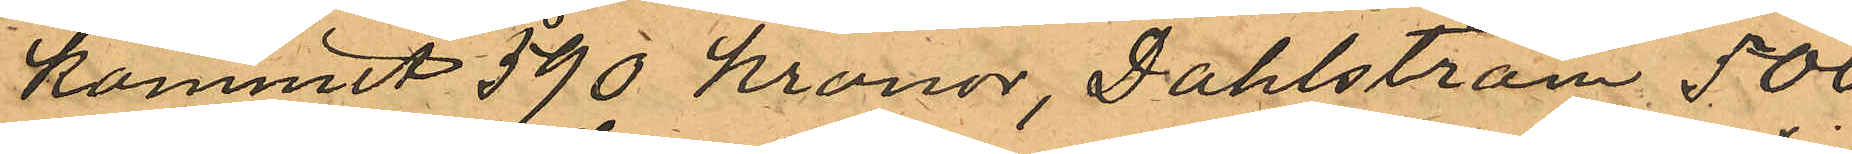kommit 590 kronor, Dahlström 500
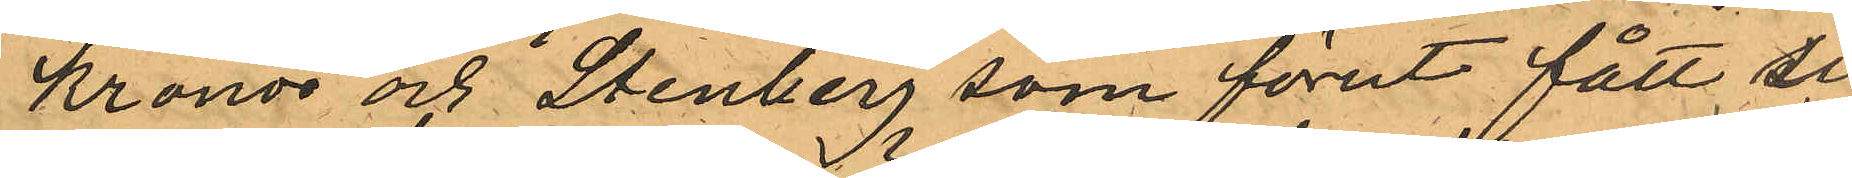Kronor och Stenberg som förut fått sig
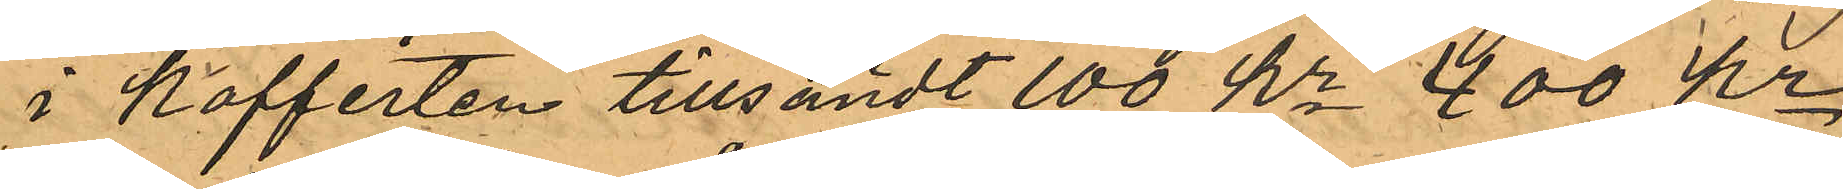i Kofferten tillsändt 100 kr 400 kr
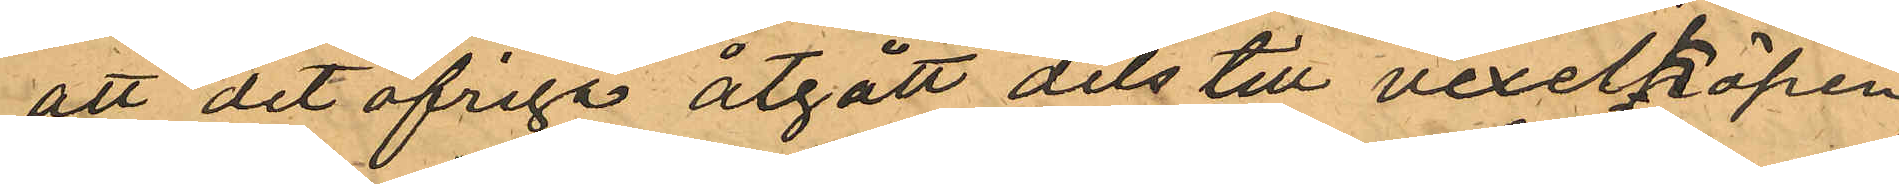att det öfriga åtgått dels till vexelköpen
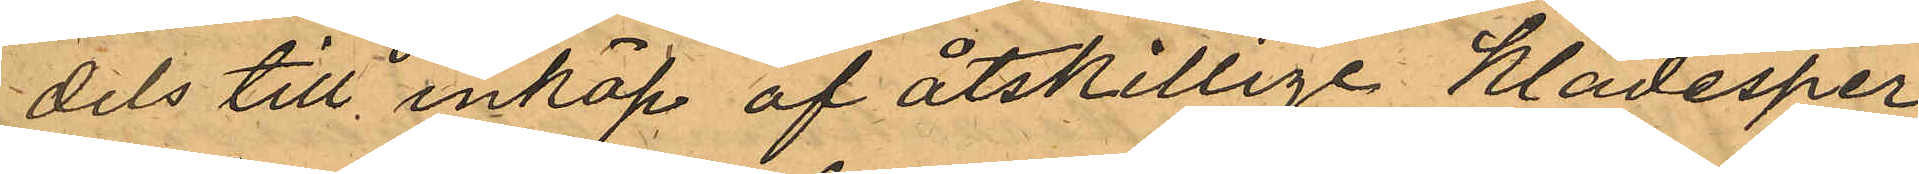dels till inköp af åtskillige klädesper¬
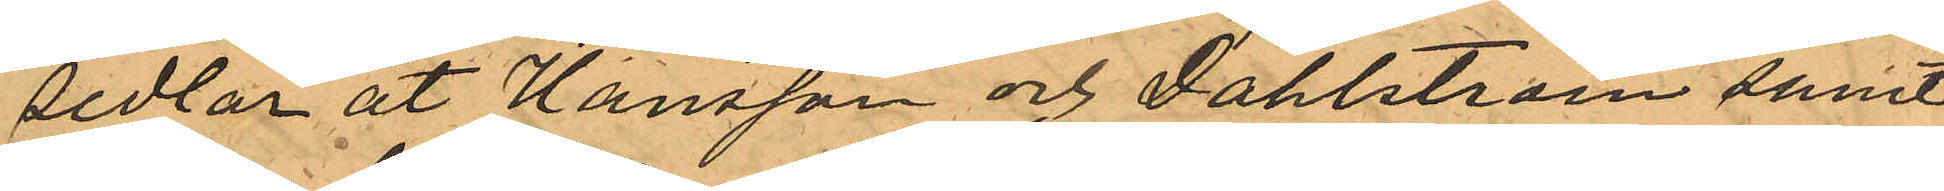sedlar åt Hansson och Dahlström samt
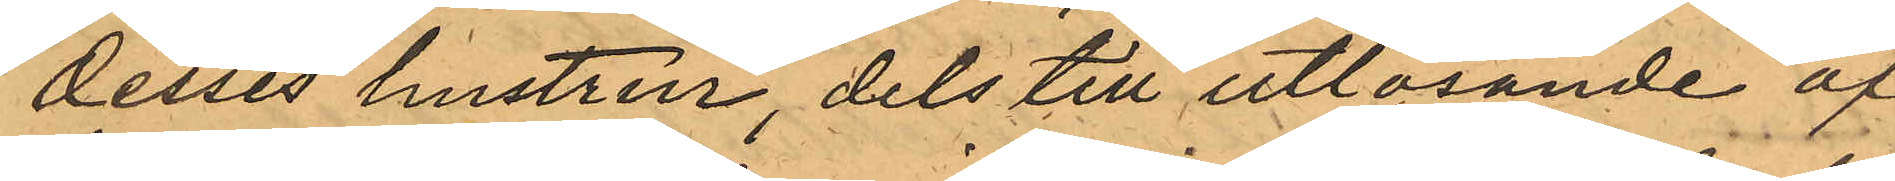desses hustrur, dels till utlösande af
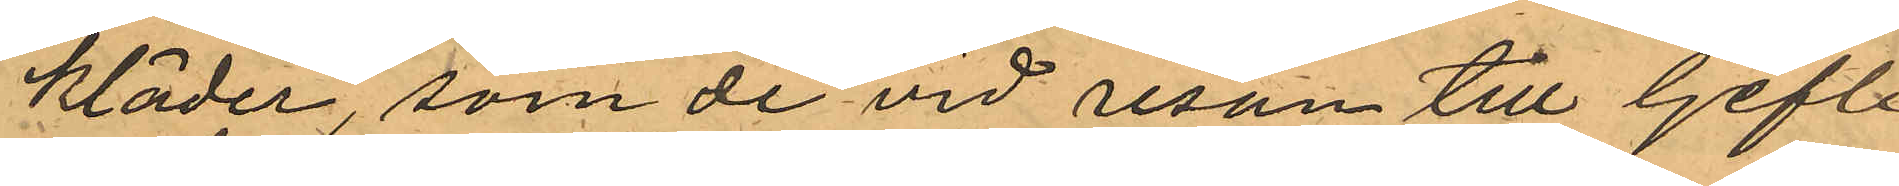kläder, som de vid resan till Gefle
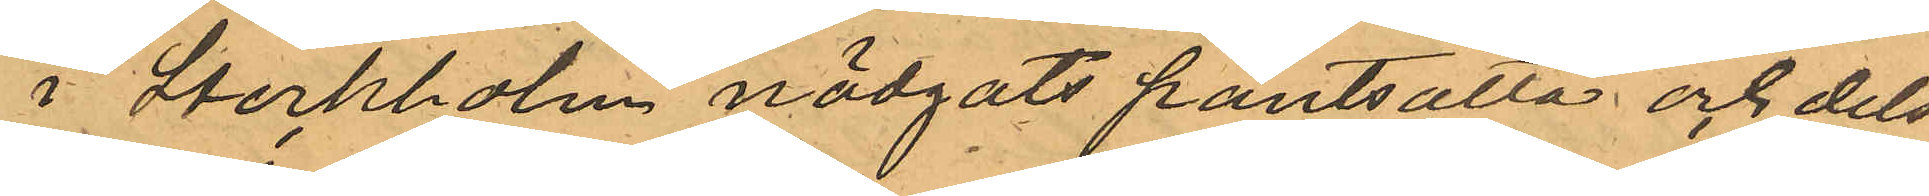i Stockholm nödgats pantsätta och dels
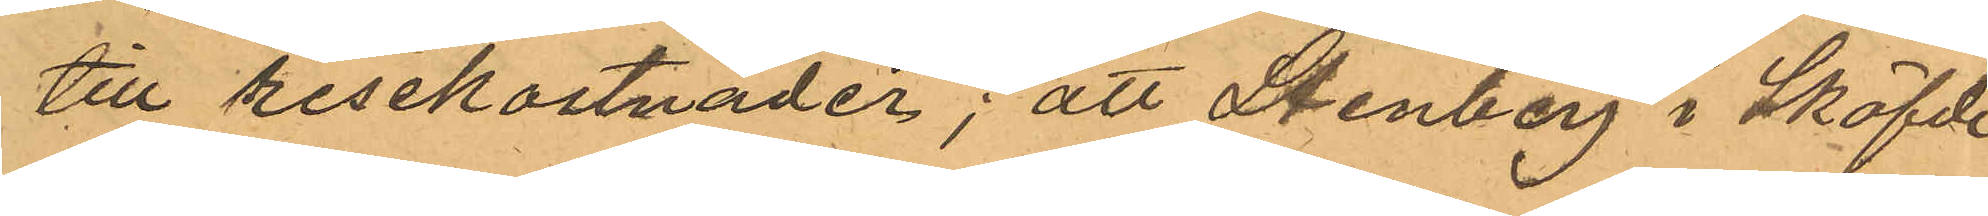till resekostnader; att Stenberg i Sköfde
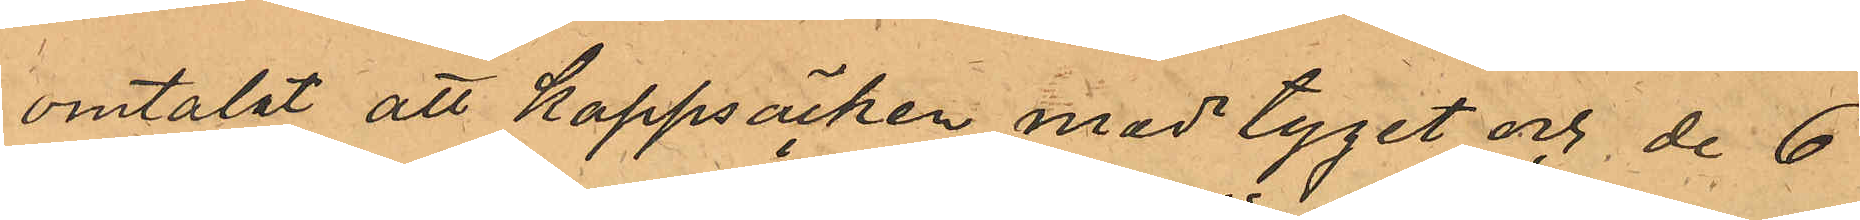omtalat att Kappsäcken med tyget och de 6
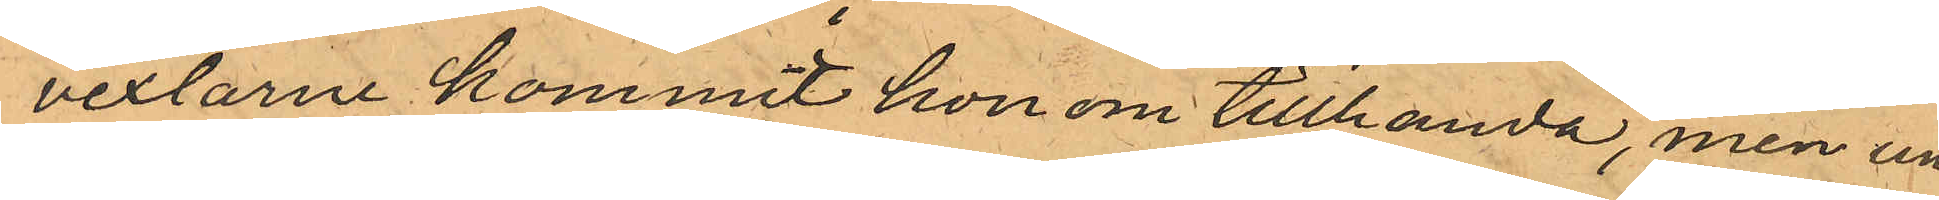vexlarne kommit honom tillhanda, men un¬
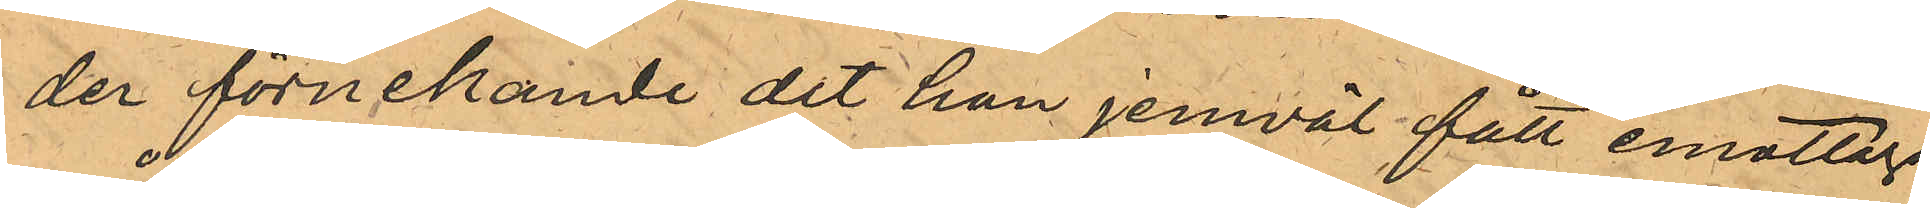der förnekande det han jemväl fått emottaga
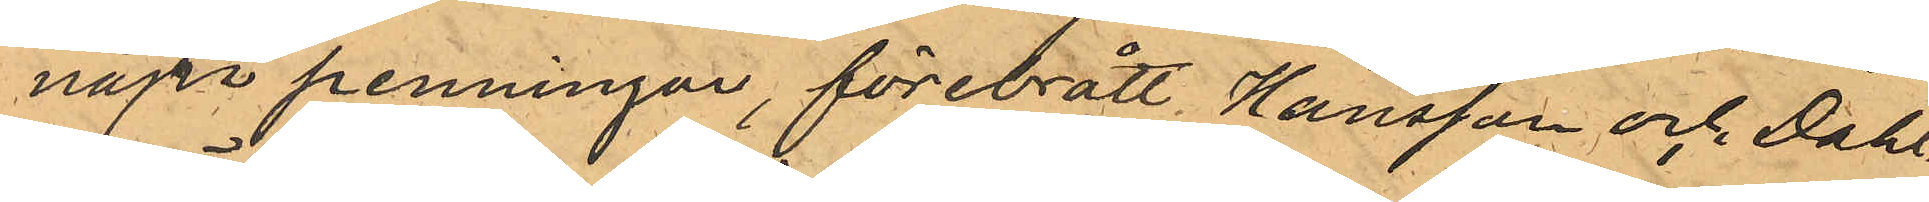några penningar, förebrått Hansson och Dahl¬
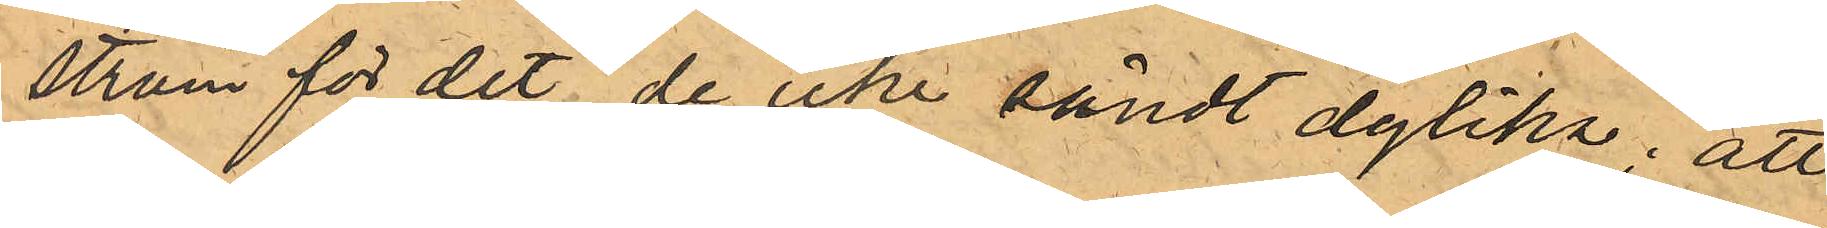ström för det de icke sändt dylika; att
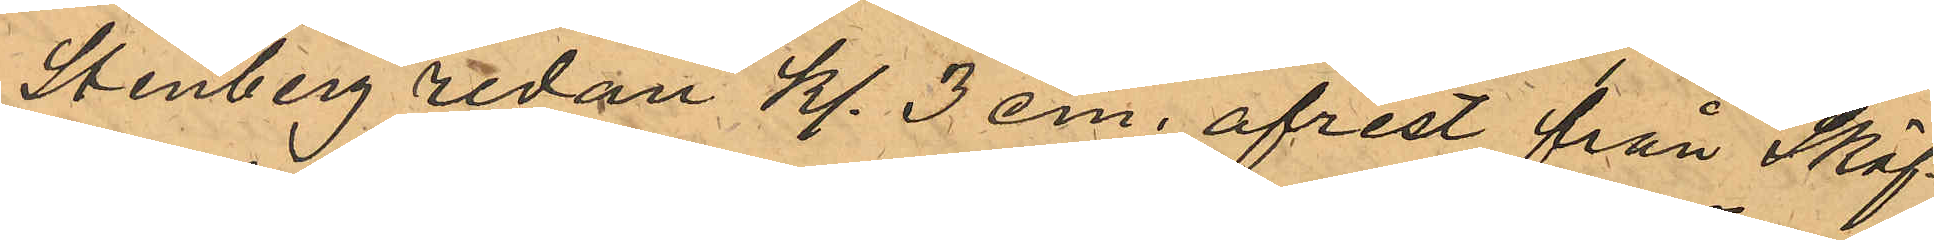Stenberg redan Kl. 3 em. afrest från Sköf¬
